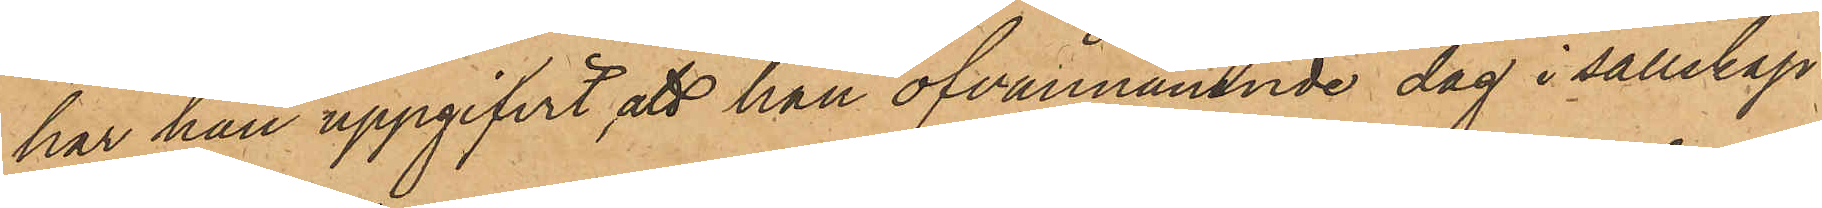har han uppgifvit, att han ofvannämnde dag i sällskap
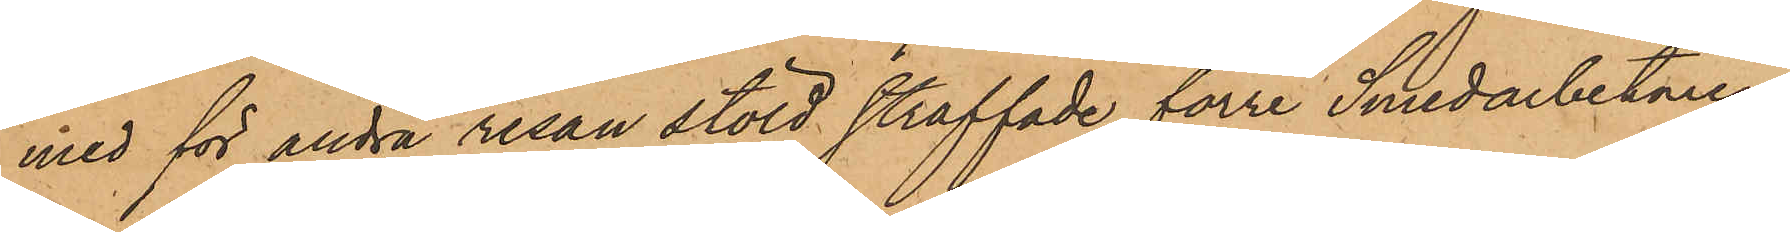med för andra resan stöld straffade förre Smedarbetaren
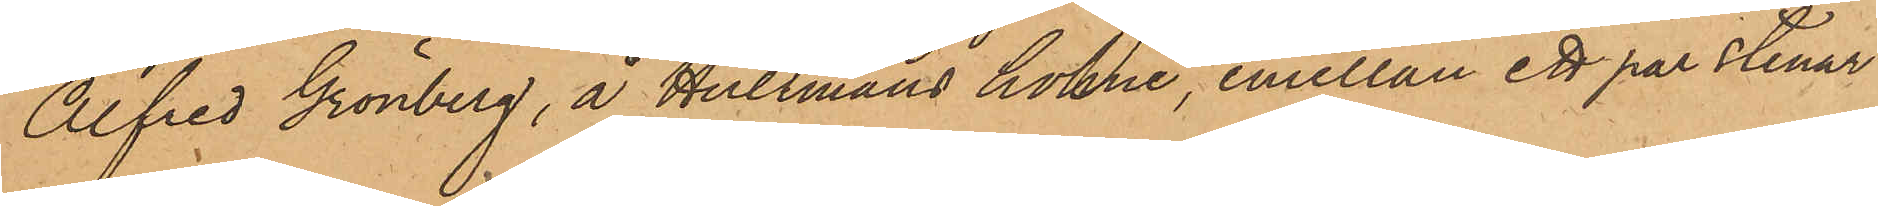Alfred Grönberg, å Hultmans holme, emellan ett par stenar
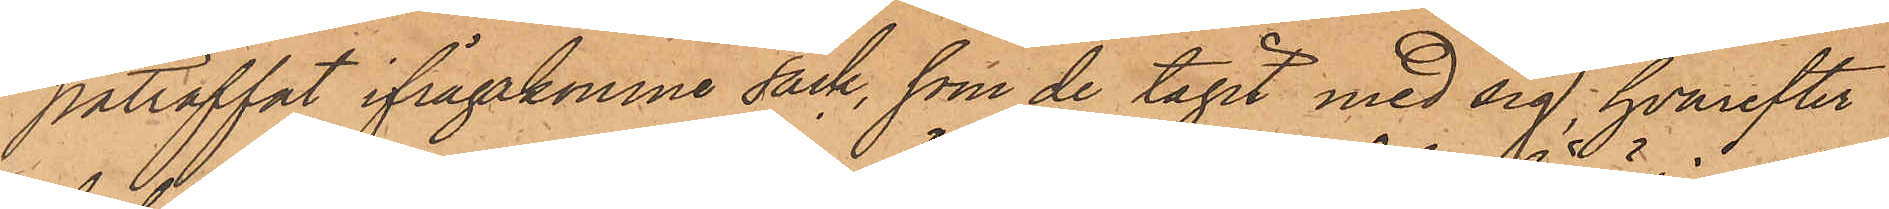påträffat ifrågakomne säck, som de tagit med sig, hvarefter
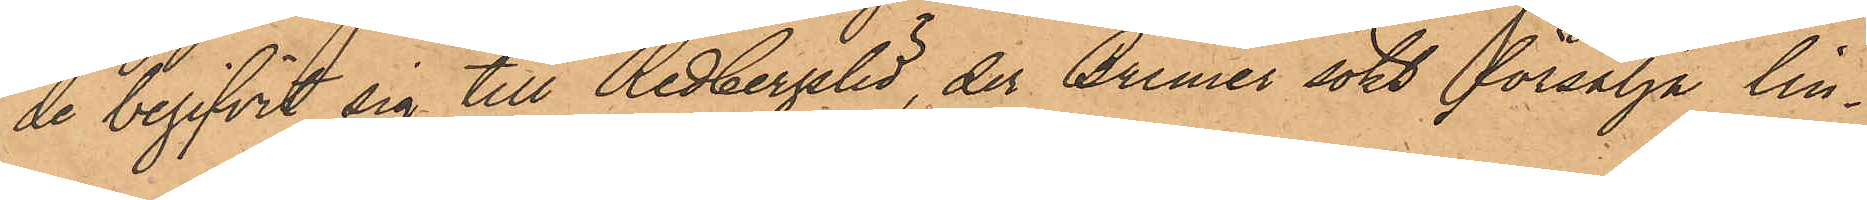de begifvit sig till Redbergslid, der Bremer sökt försälja lin¬
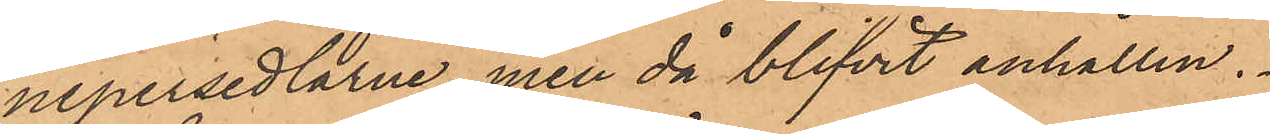nepersedlarne, men då blifvit anhållen.
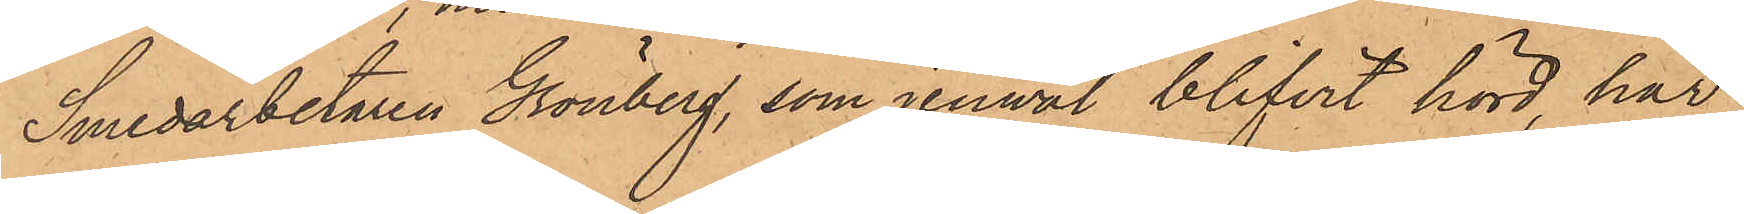Smedarbetaren Grönberg, som jemväl blifvit hörd, har
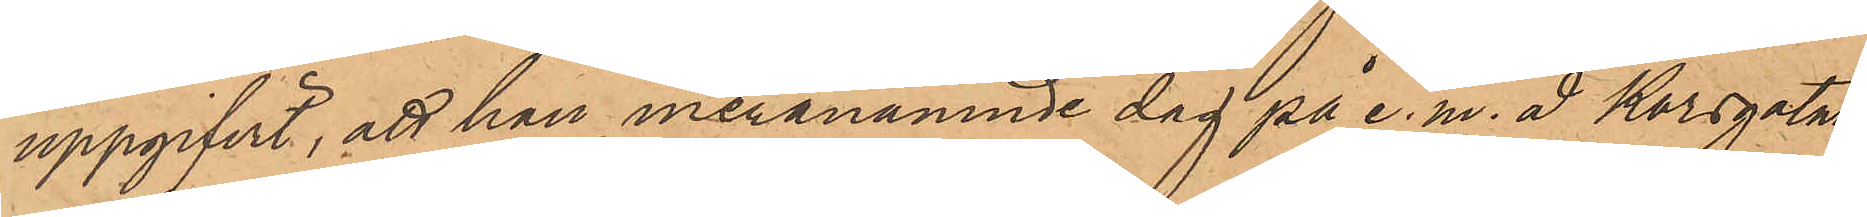uppgifvit, att han meranämnde dag på e.m. å Korsgatan
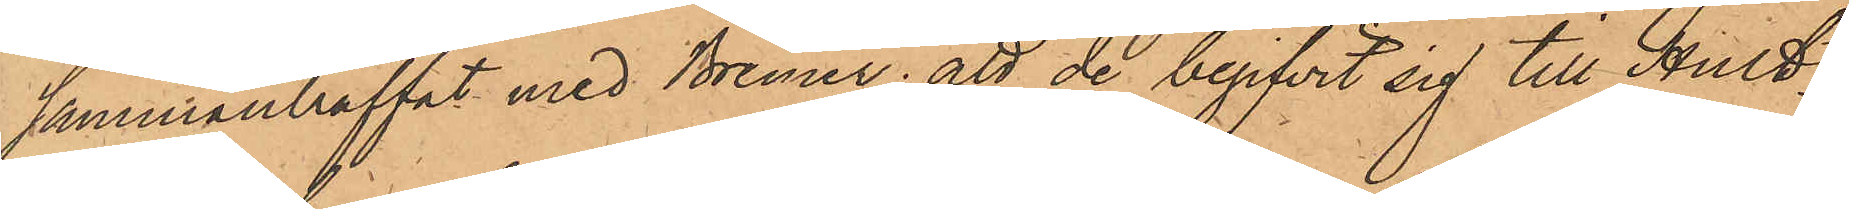sammanträffat med Bremer; att de begifvit sig till Hult¬
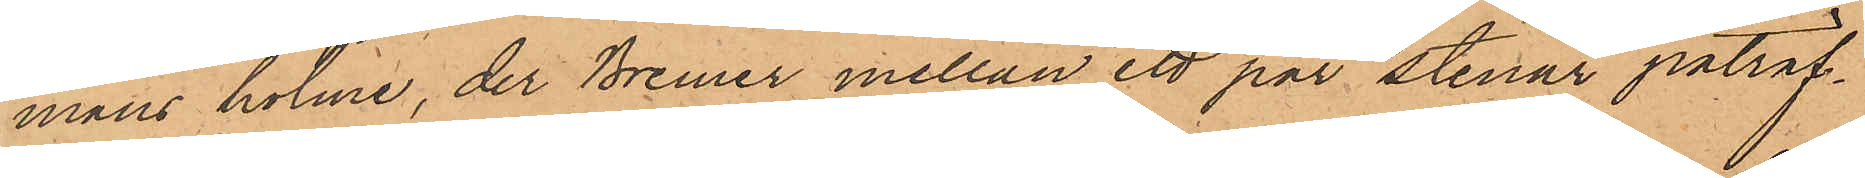mans holme, der Bremer mellan ett par stenar påträf¬
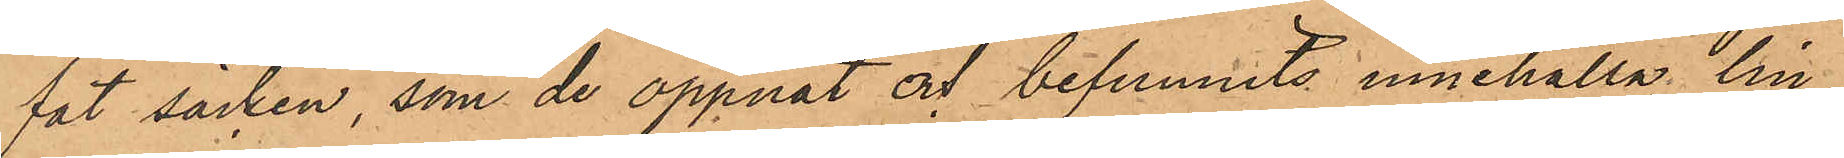fat säcken, som de öppnat och befunnits innehålla lin¬
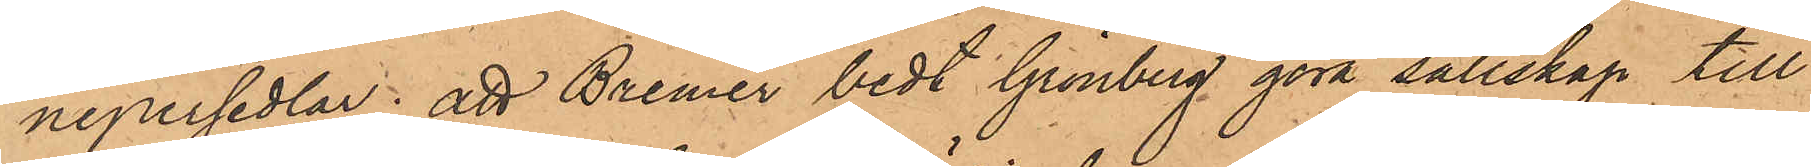nepersedlar; att Bremer bedt Grönberg göra sällskap till
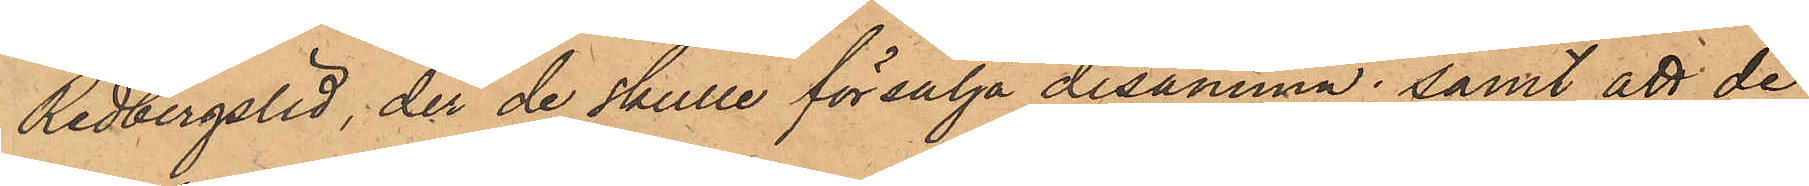Redbergslid, der de skulle försälja desamma; samt att de
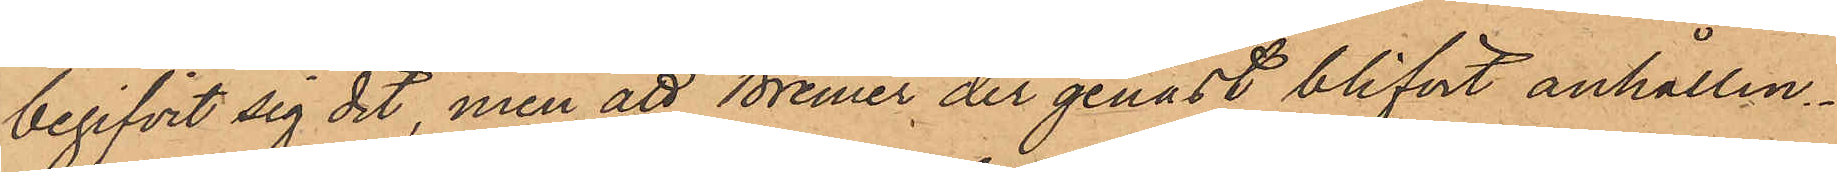begifvit sig dit, men att Bremer der genast blifvit anhållen.
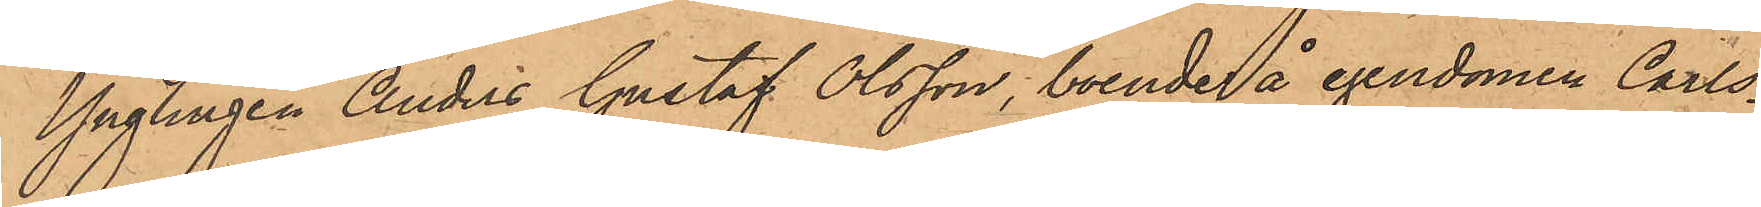Ynglingen Anders Gustaf Olsson, boende å egendomen Carls¬
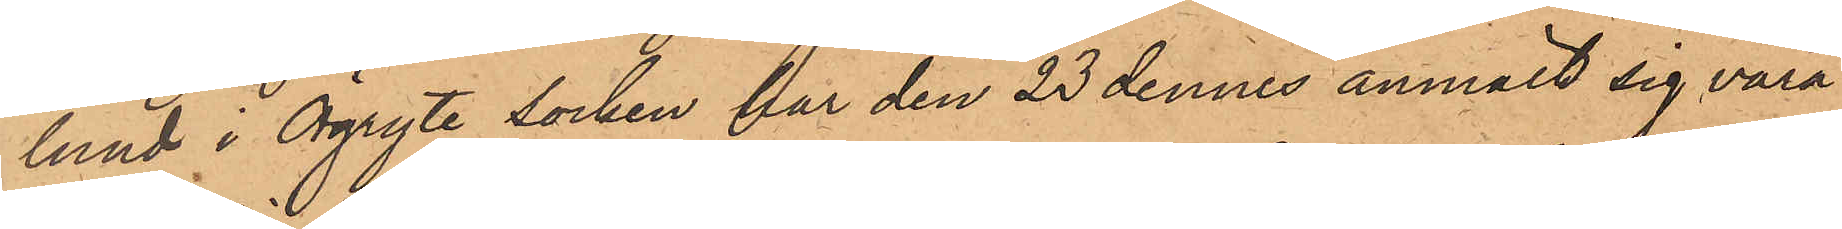lund i Örgryte socken har den 23 dennes anmält sig vara
